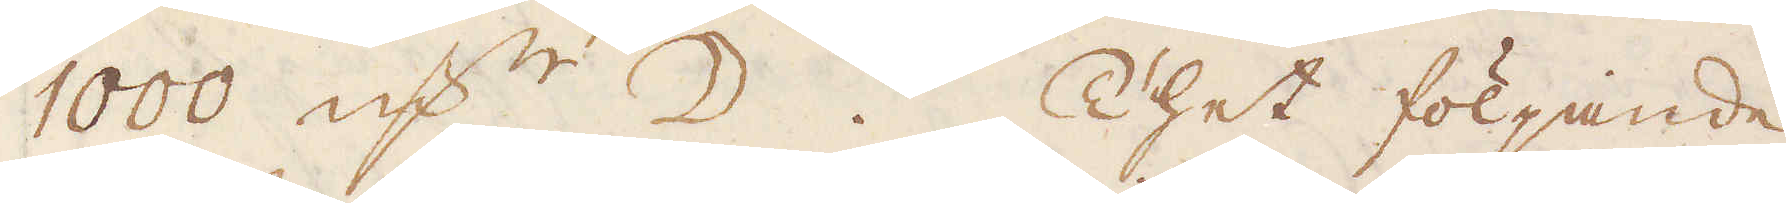1000 qv:r ☽. Thet följande
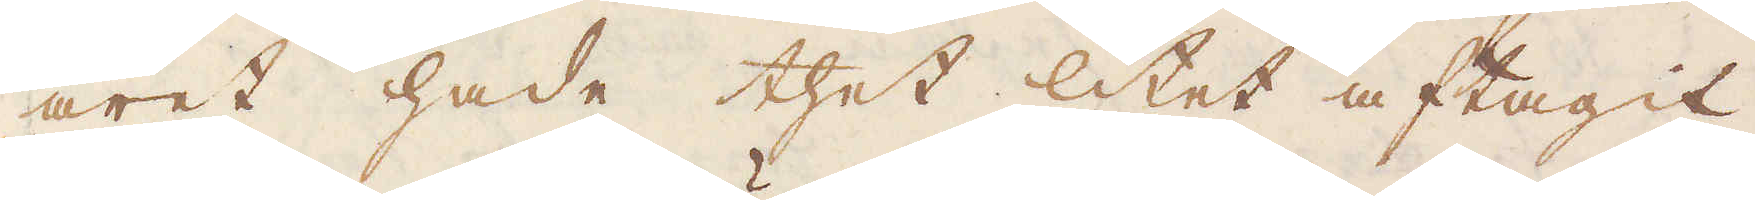året hade thet litet aftagit
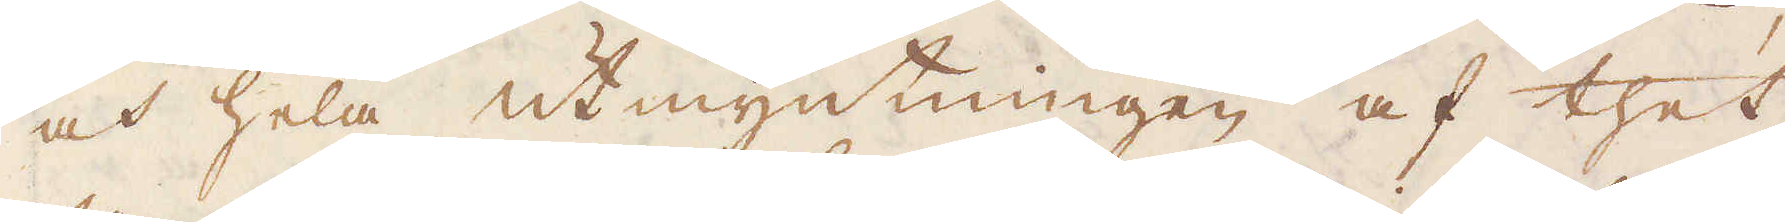och hela utmyntningen af thet
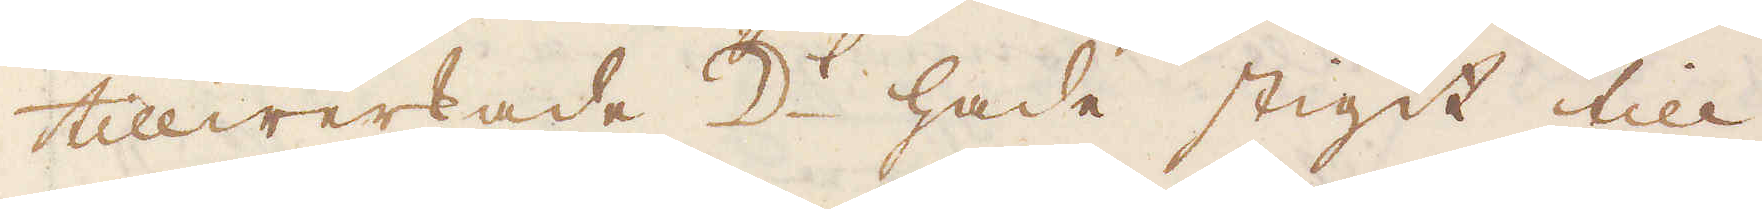tillwerkade ☽:t hade stigit till
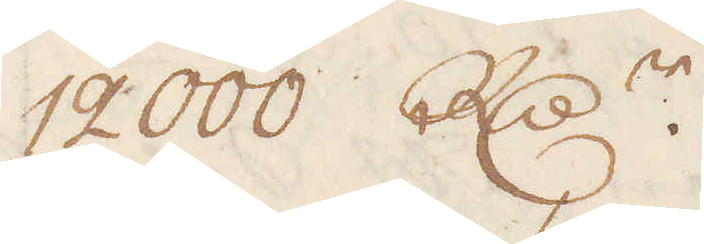12000 R:dr.
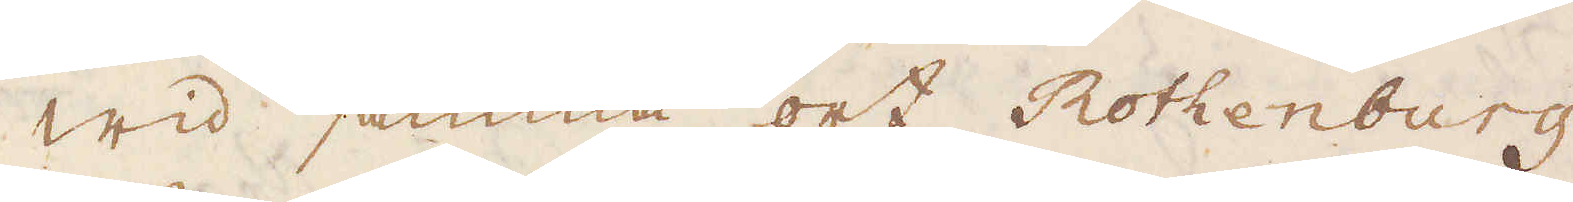Wid samma ort Rothenburg
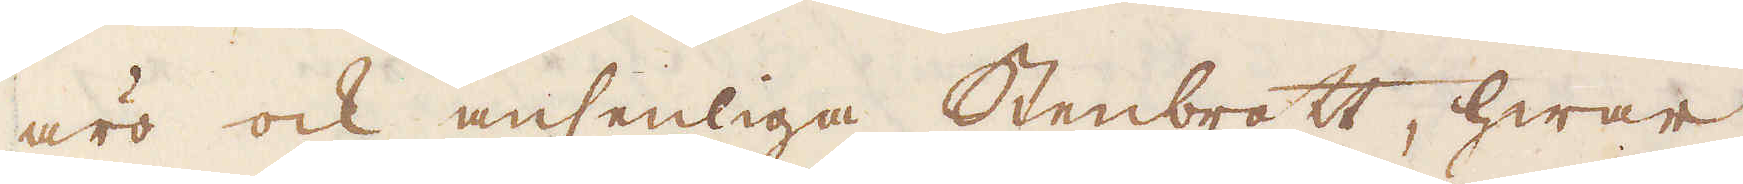äro ock ansenliga Stenbrott, hwar
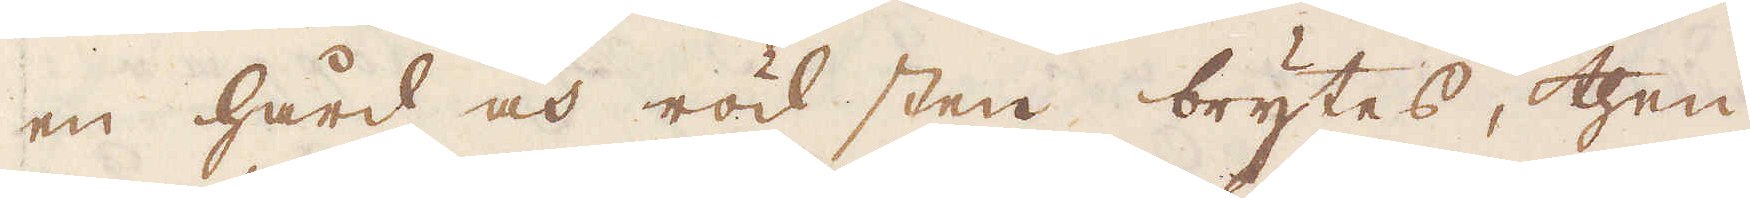en hård och röd sten brytes, then
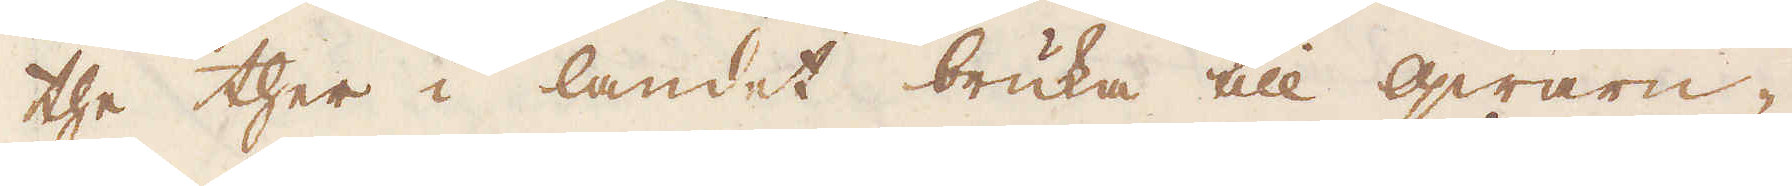the ther i landet bruka till qwarn-
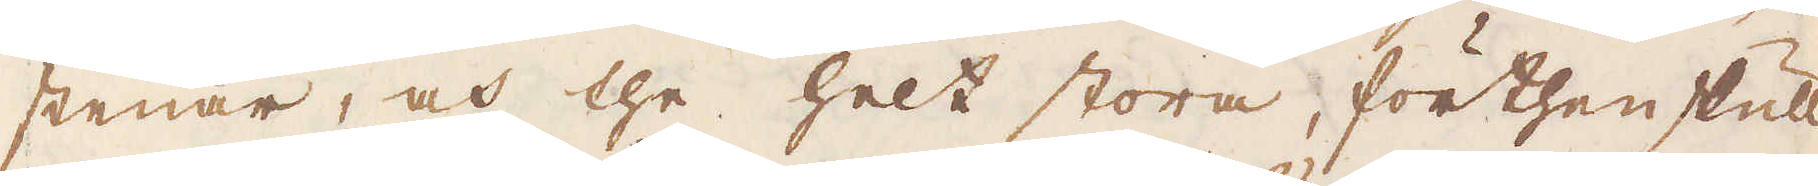stenar, och the helt stora, förthenskull
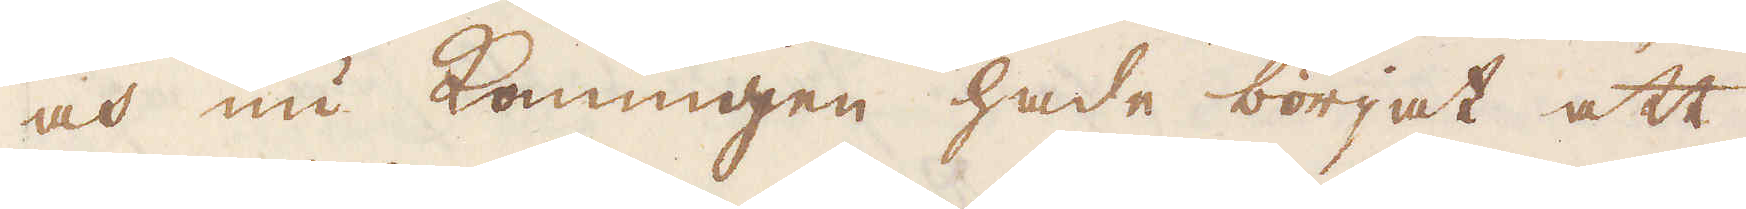och nu konungen hade börjat att
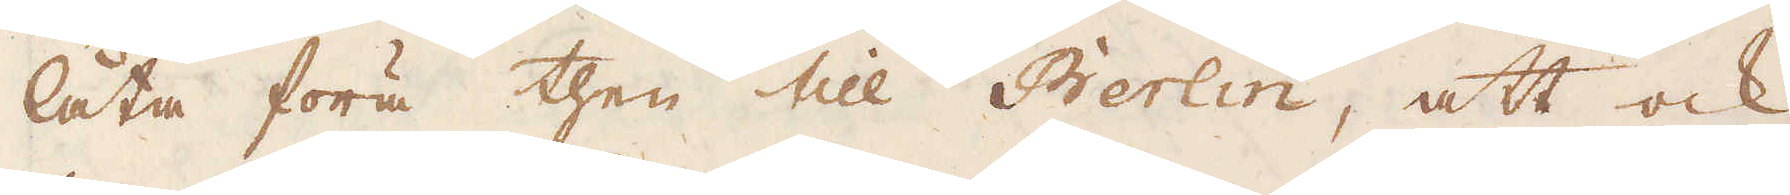låta föra then till Berlin, att ock
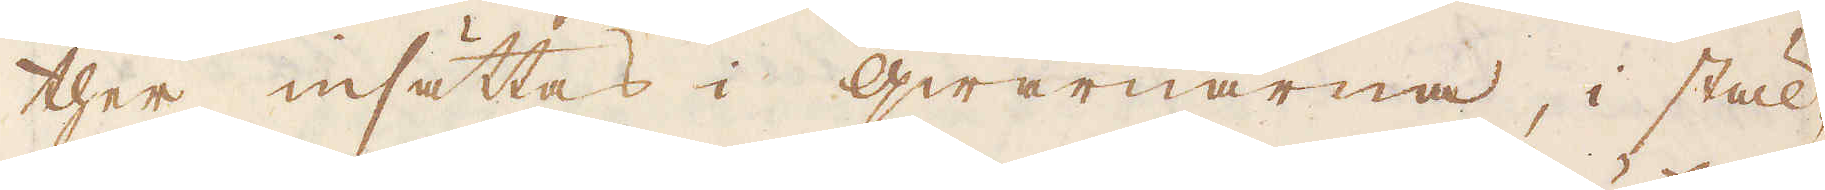ther insättas i qwarnarna, i stäl-
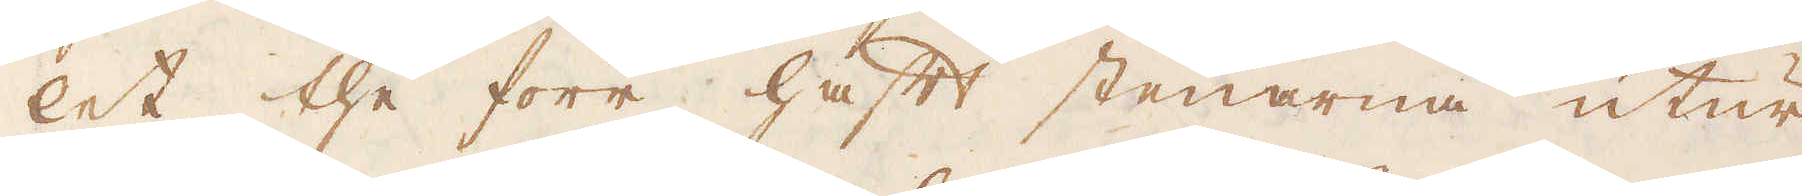let the förr haft stenarna utur
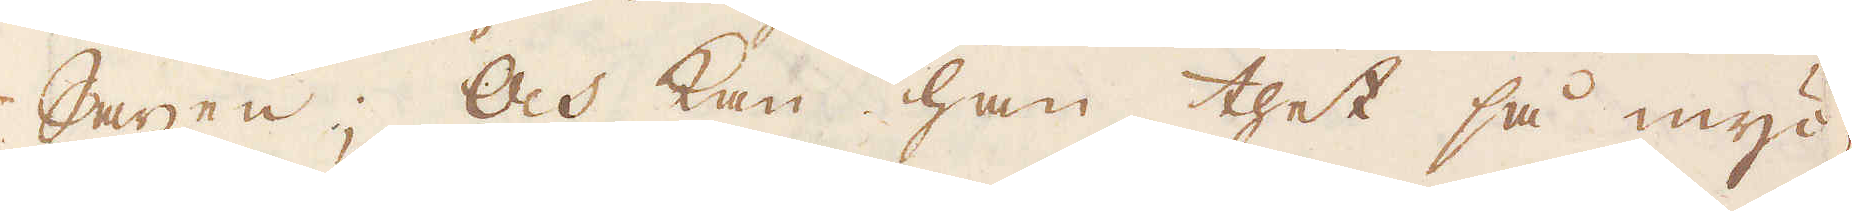Saxen; Och kan han thet så myc-
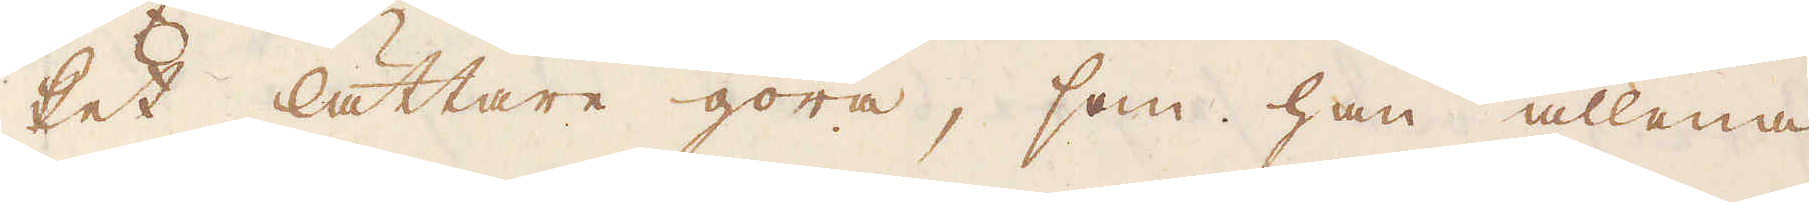ket lättare göra, som han allena
